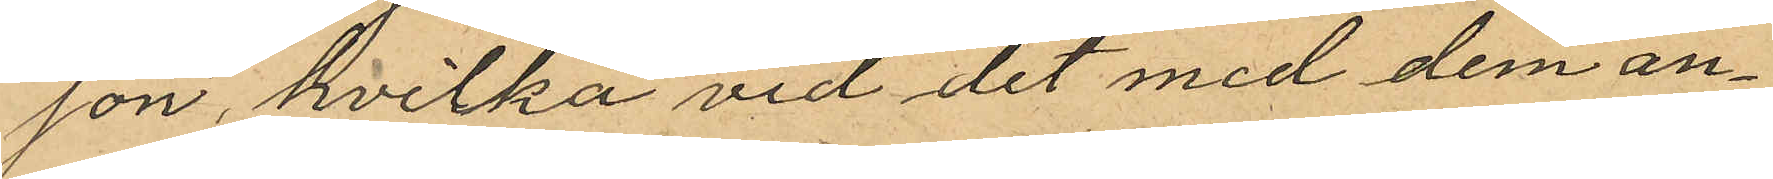son, hvilka vid det med dem an¬
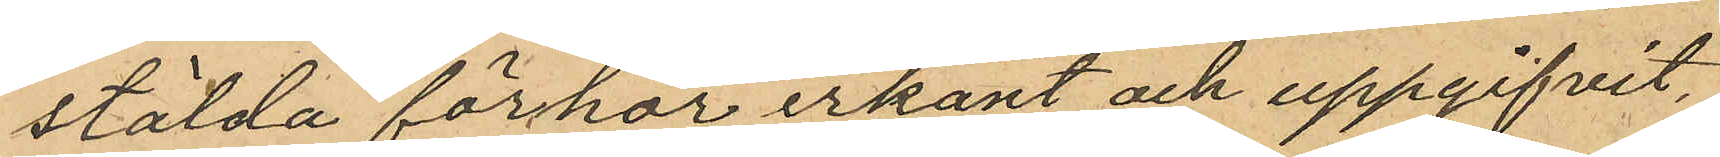stälda förhör erkänt och uppgifvit,
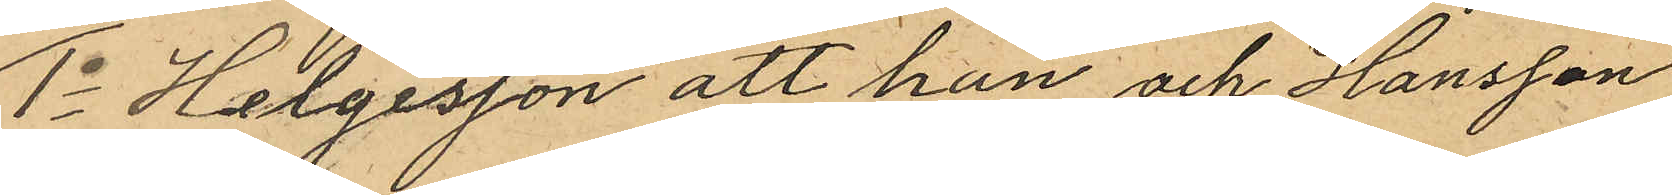1o Helgesson att han och Hansson
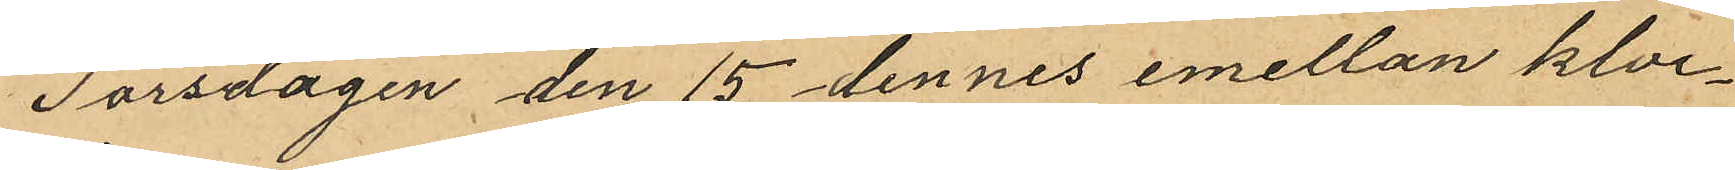Torsvägen den 15 dennes emellan kloc¬
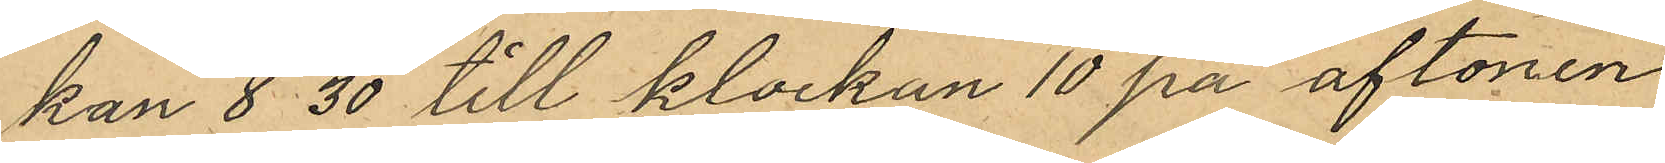kan 8 30 till klockan 10 på aftonen
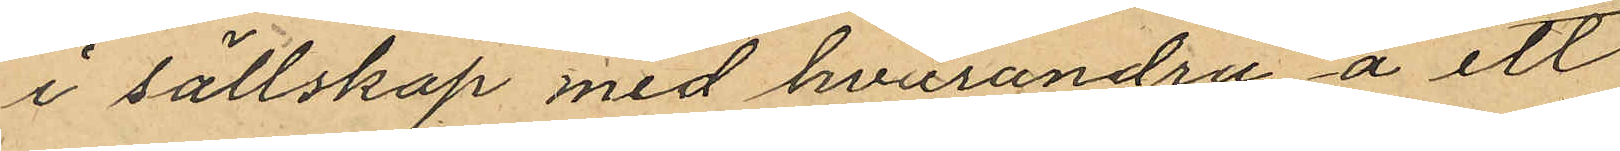i sällskap med hvarandra å ett
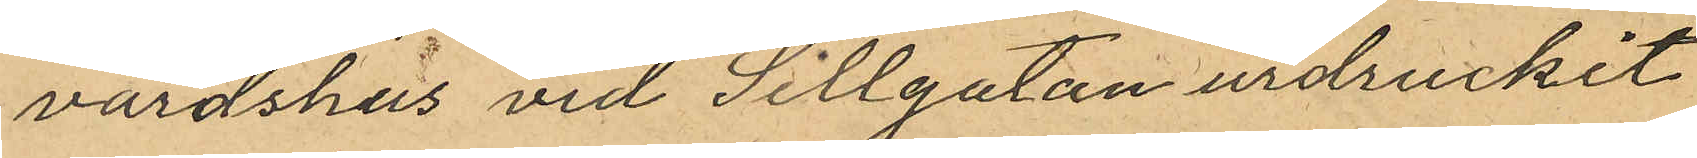värdshus vid Sillgatan urdruckit
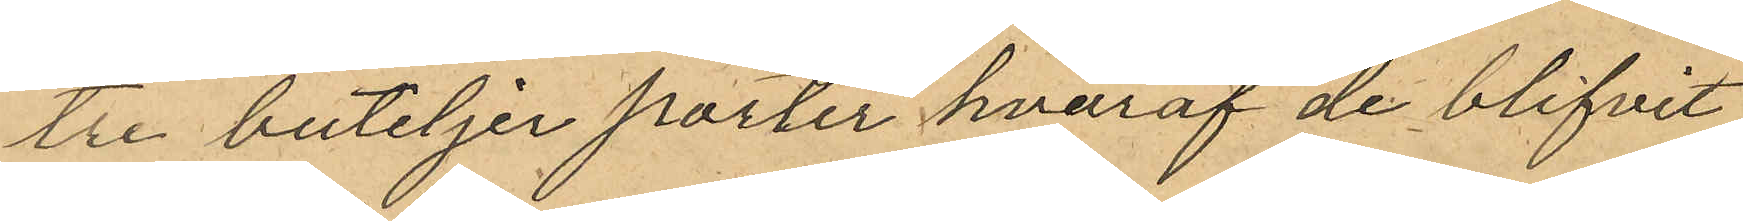tre buteljer porter hvaraf de blifvit
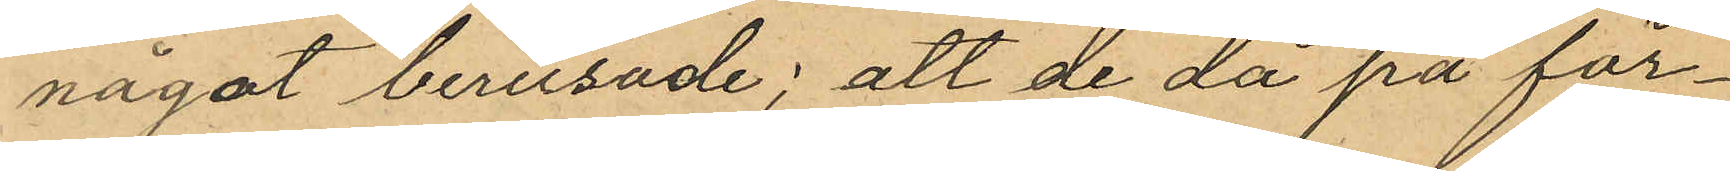något berusade; att de då på för¬
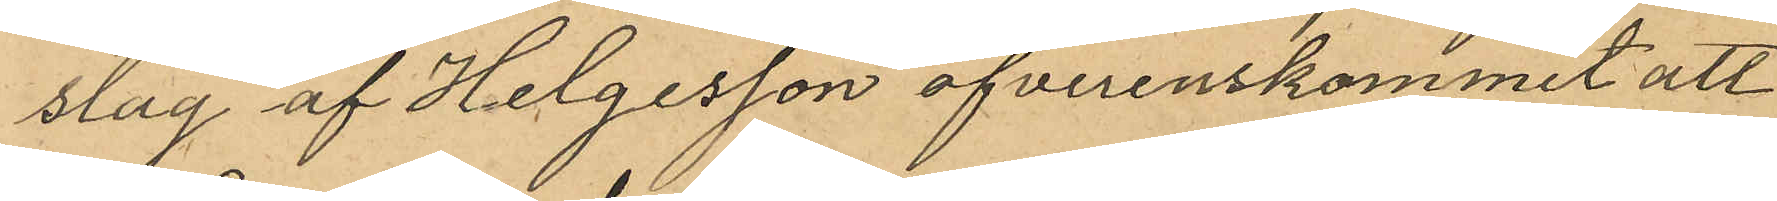slag af Helgesson öfverenskommit att
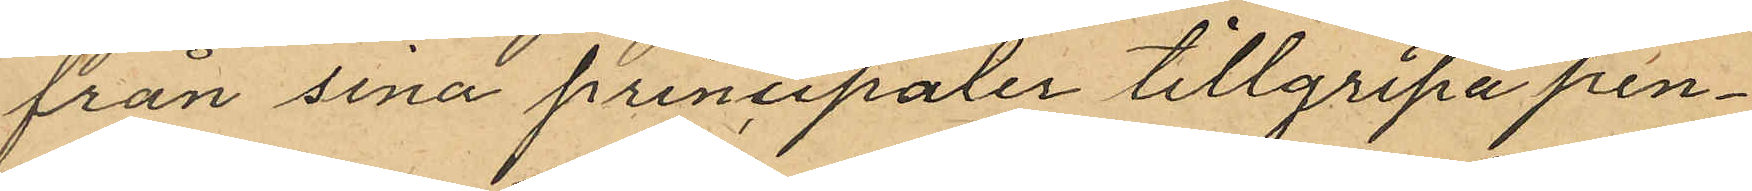från sina principaler tillgripa pen¬
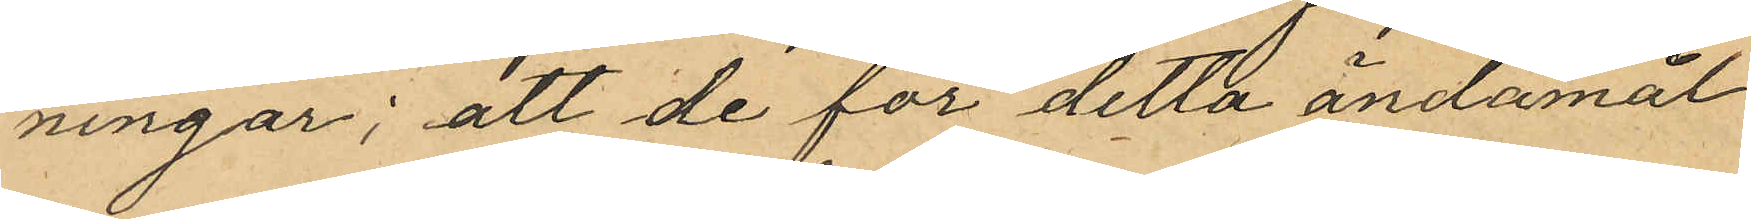ningar; att de för detta ändamål
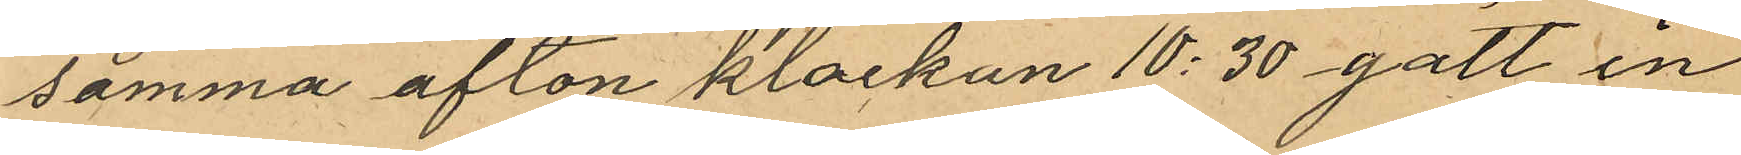samma afton klockan 10:30 gått in
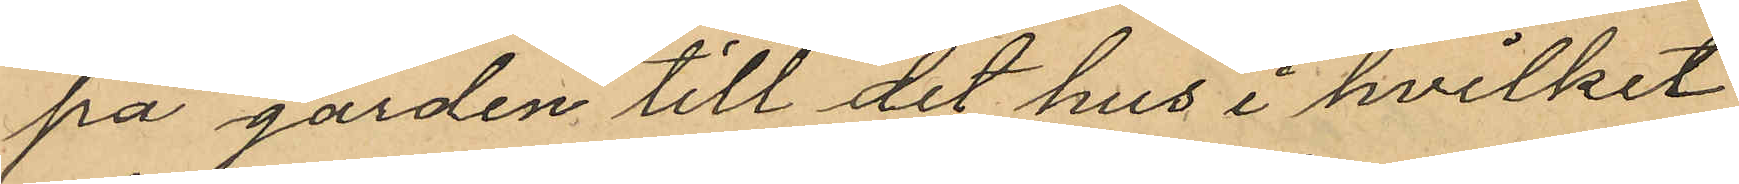på gården till det hus i hvilket
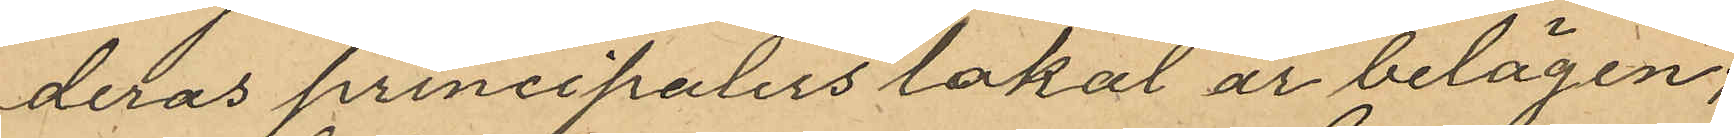deras principalers lokal är belägen;
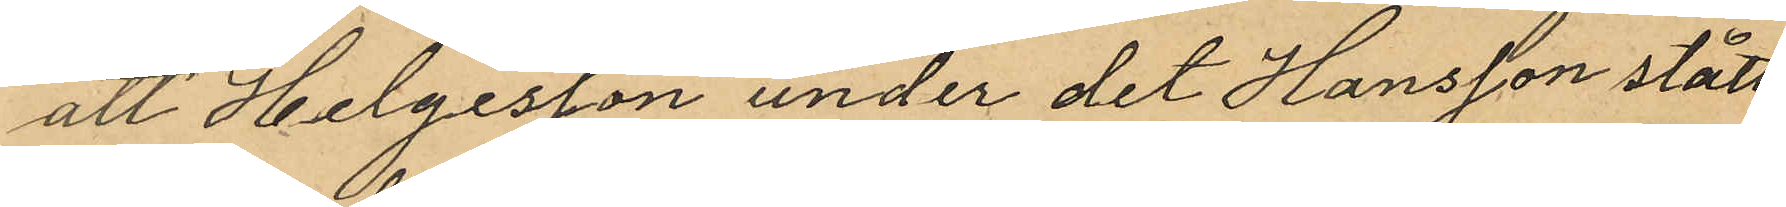att Helgesson under det Hansson stått
